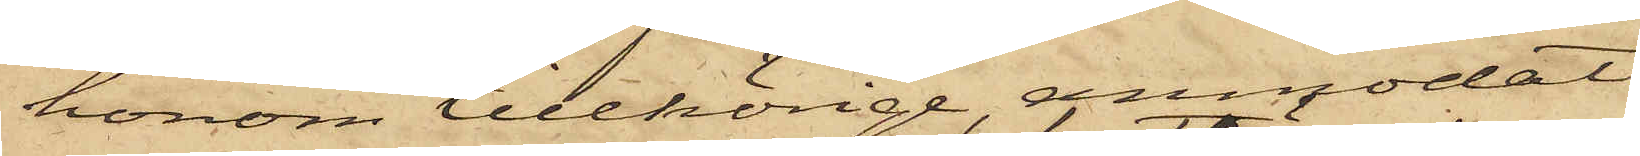honom tillhörige, anmodat
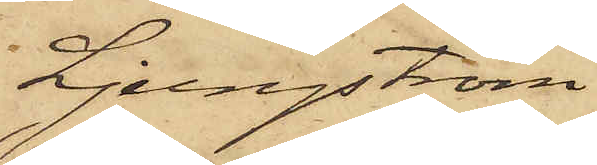Ljungström
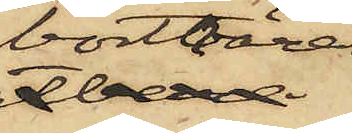bortbära
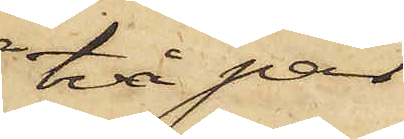två par
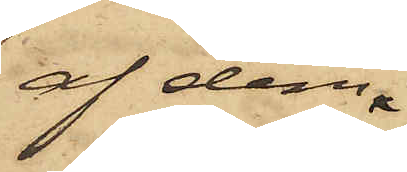af dem,
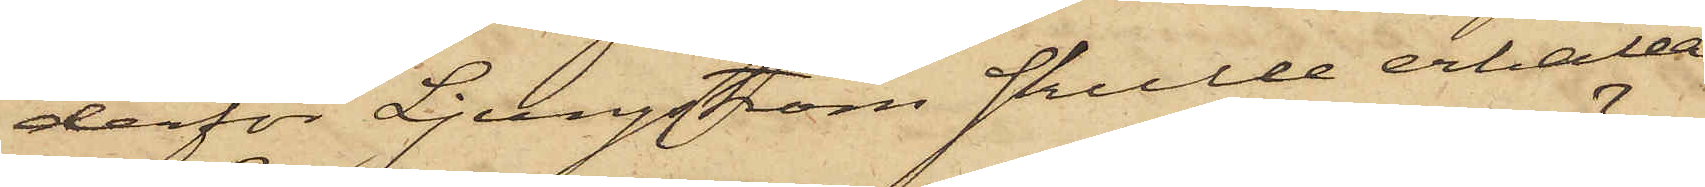derför Ljungström skulle erhålla
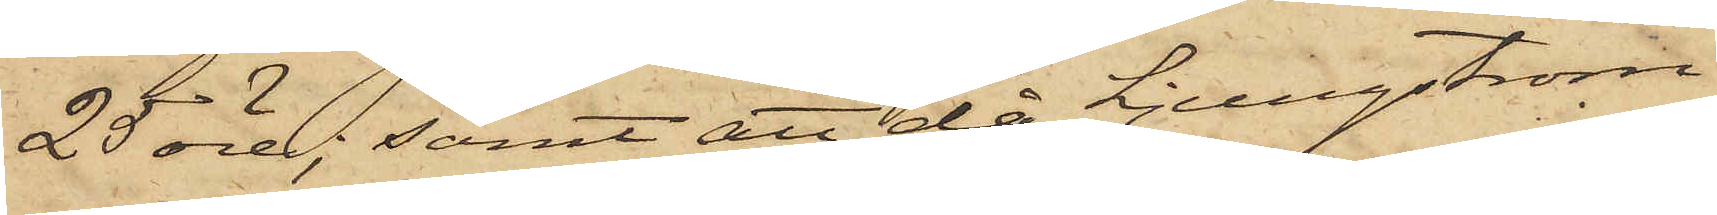25 öre; samt att då Ljungström,
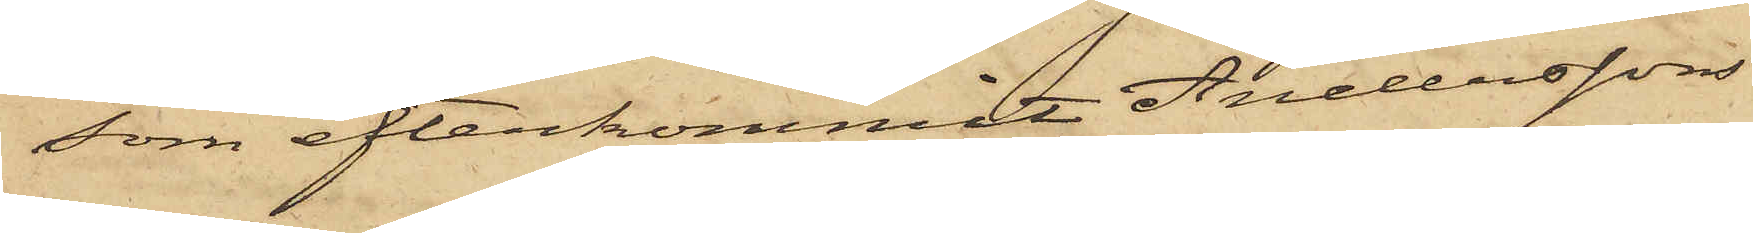som efterkommit Anderssons
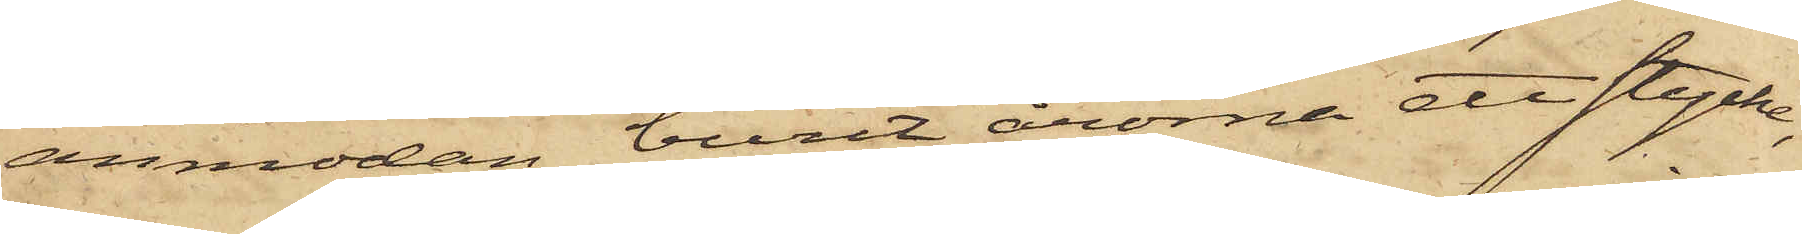anmodan, burit årorna ett stycke,
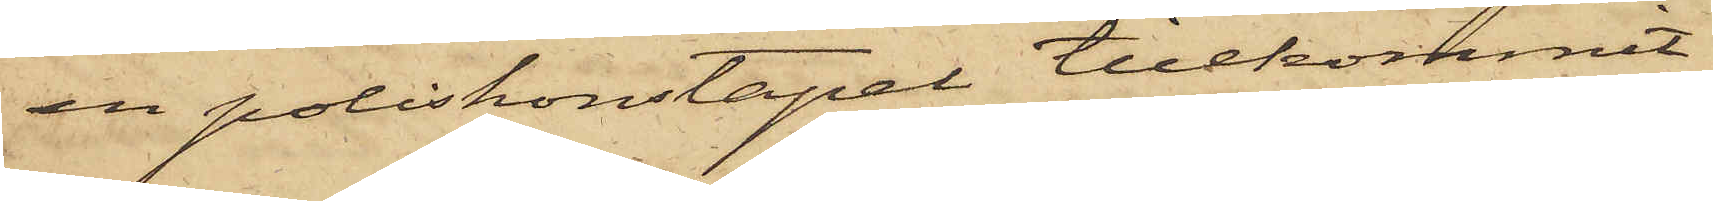en poliskonstapel tillkommit
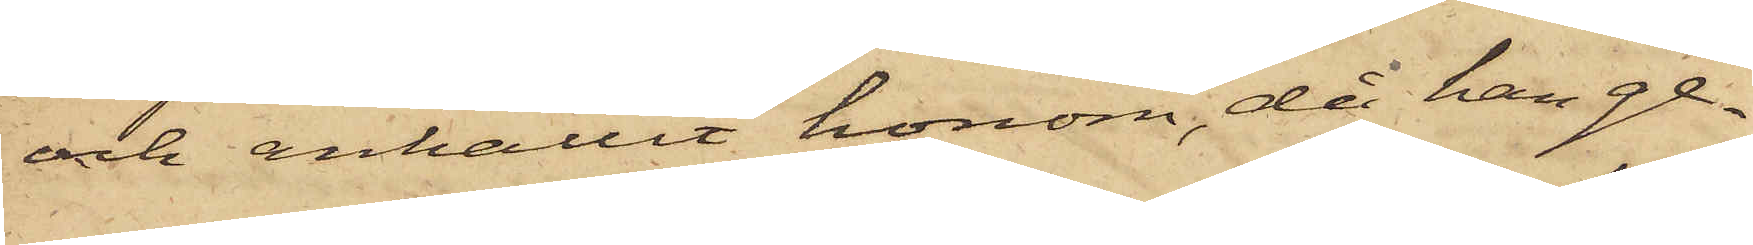och anhållit honom, då han ge¬
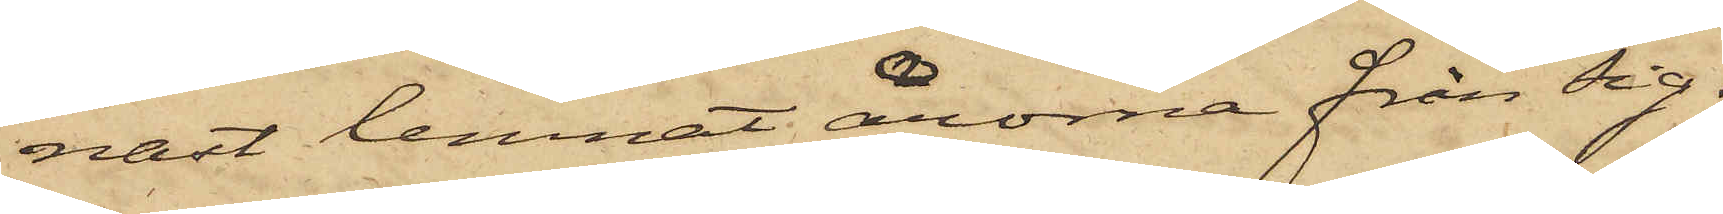nast lemnat årorna från sig.
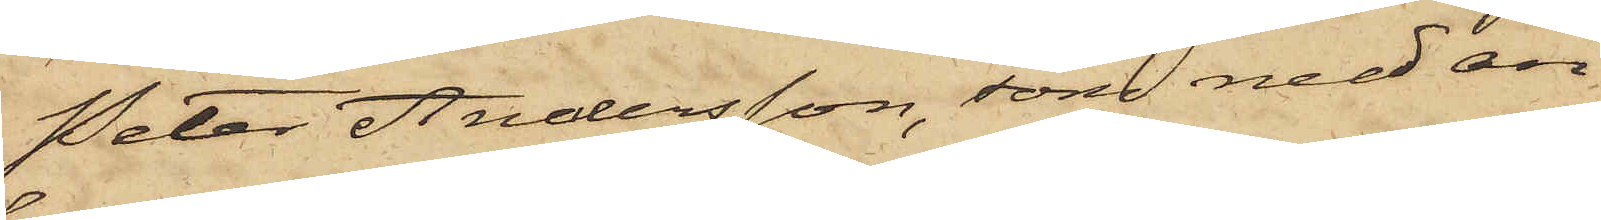Peter Andersson, som med an¬
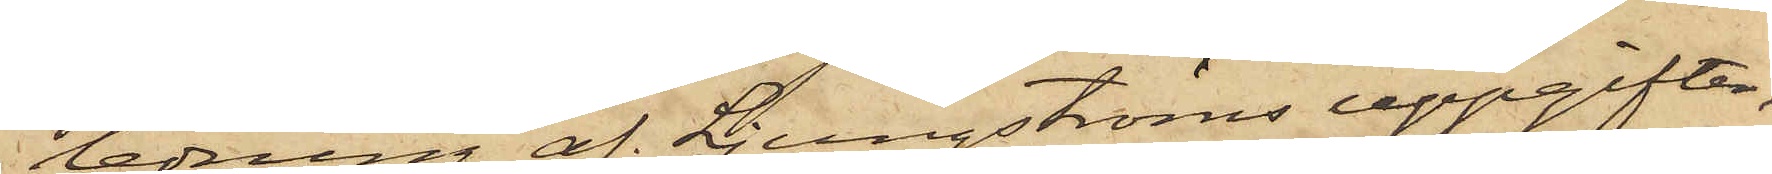ledning af Ljungströms uppgifter,
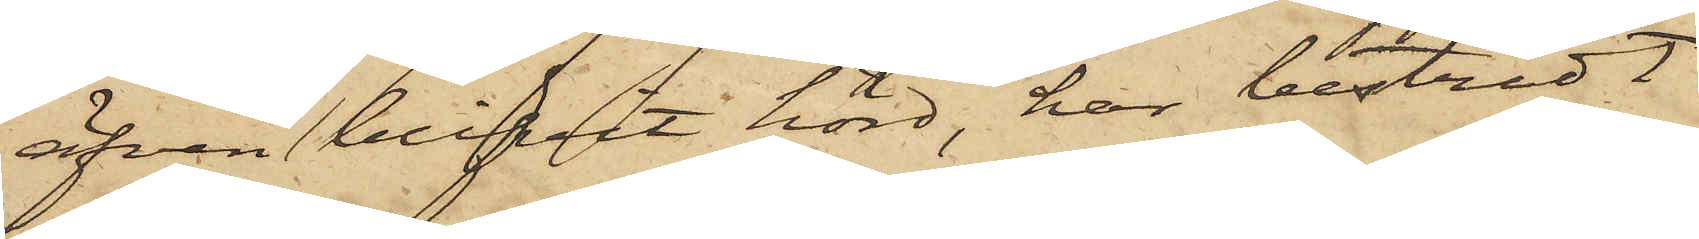äfven blifvit hörd, har bestridt
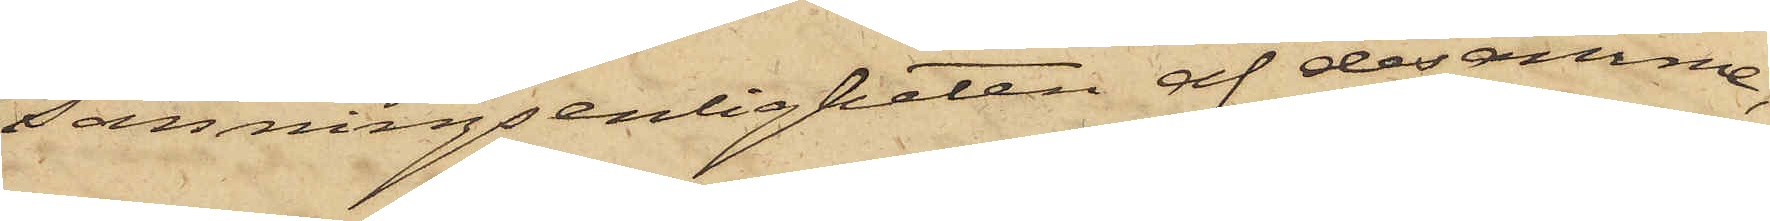sanningsenligheten af desamme,
